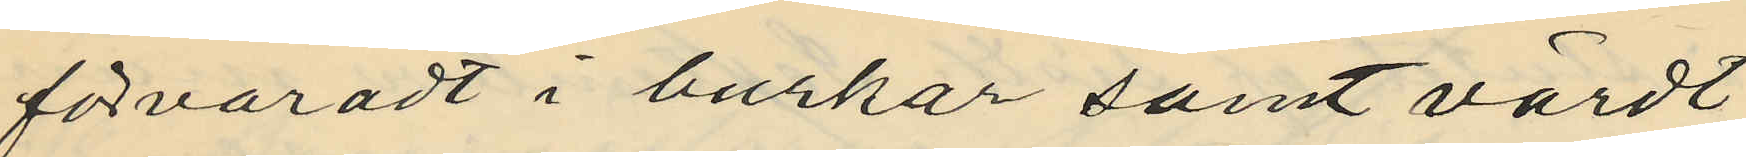förvaradt i burkar samt värdt
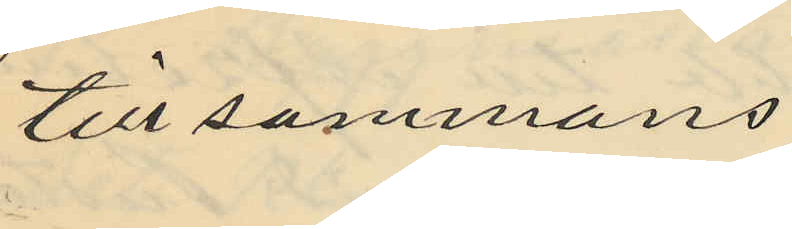till sammans
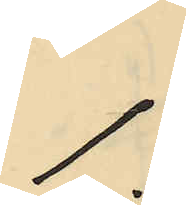1:
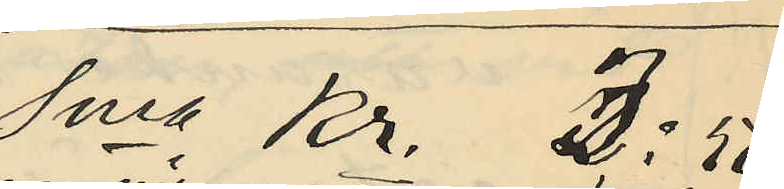Sma Kr. 3:50
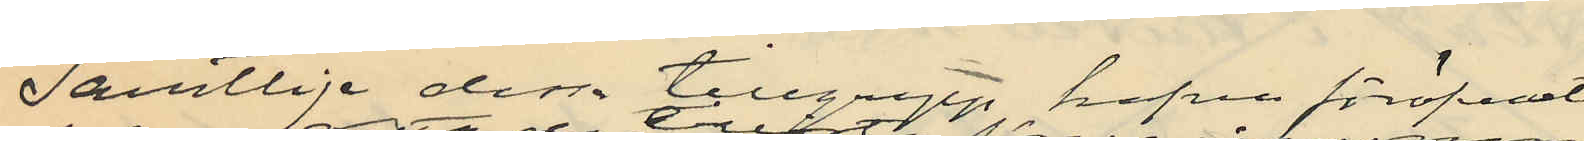Samtlige dessa tillgrepp hafva föröfvats
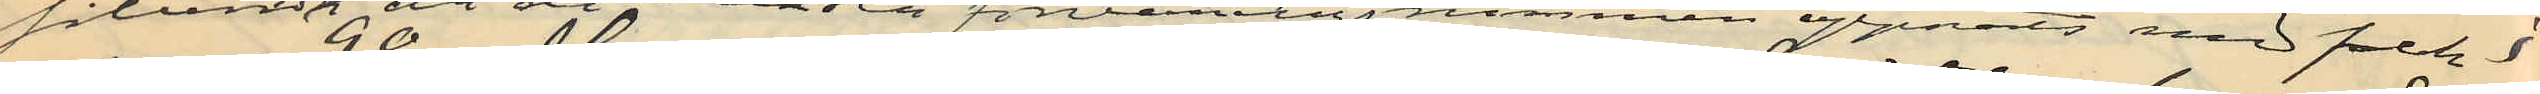sålunda ett de låsta förvaringrummen öppnats med falsk
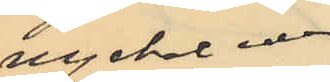nyckel eller
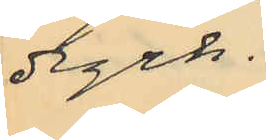dyrk.
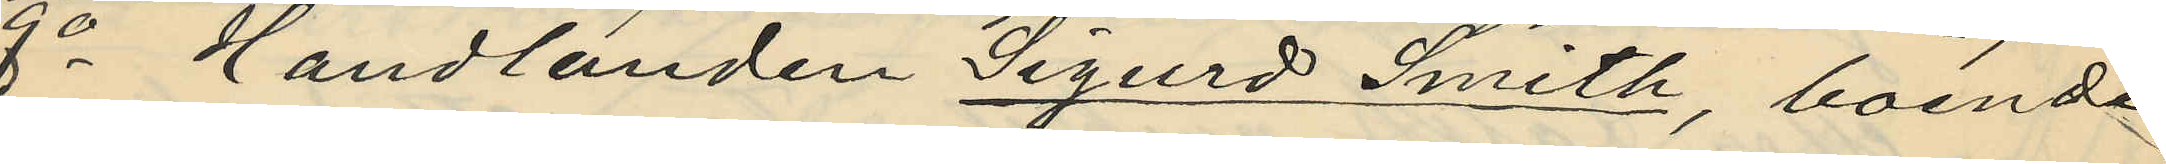8o Handlanden Sigurd Smith, boende
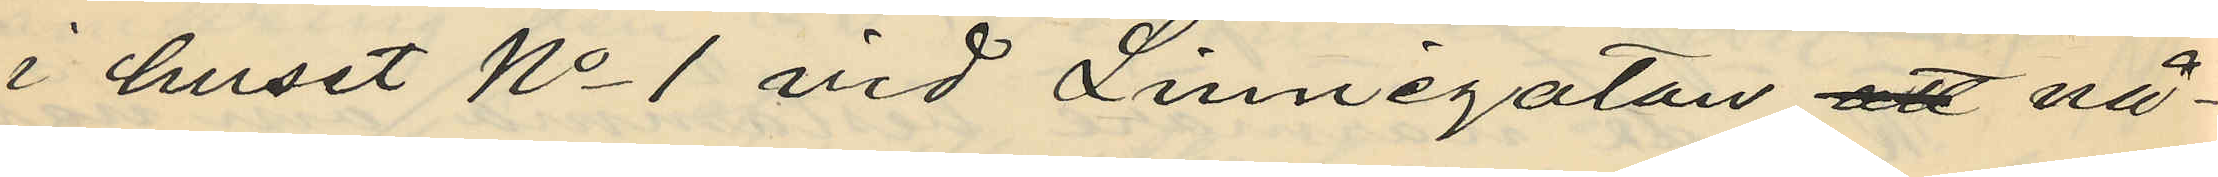i huset No 1 vid Linnégatan att nå¬
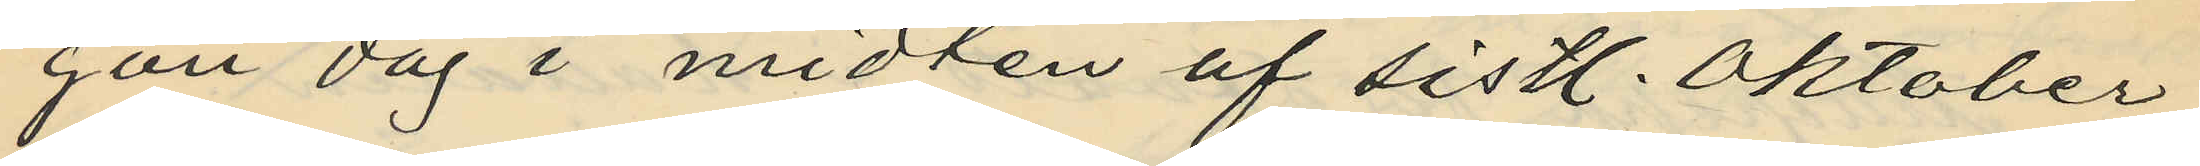gon dag i midten af sistl. Oktober
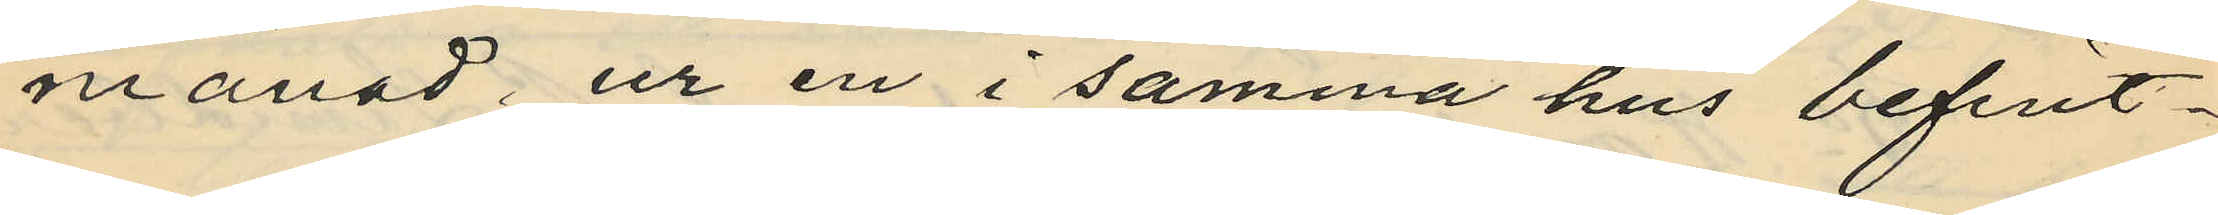månad, ur en i samma hus befint¬
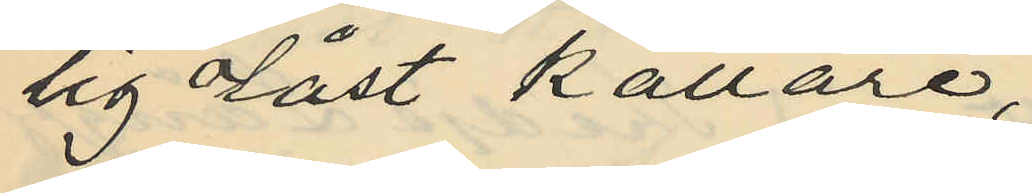sig olåst källare,
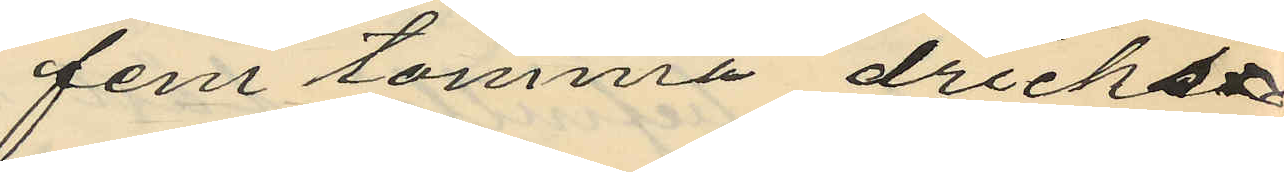fem tomma dricks¬
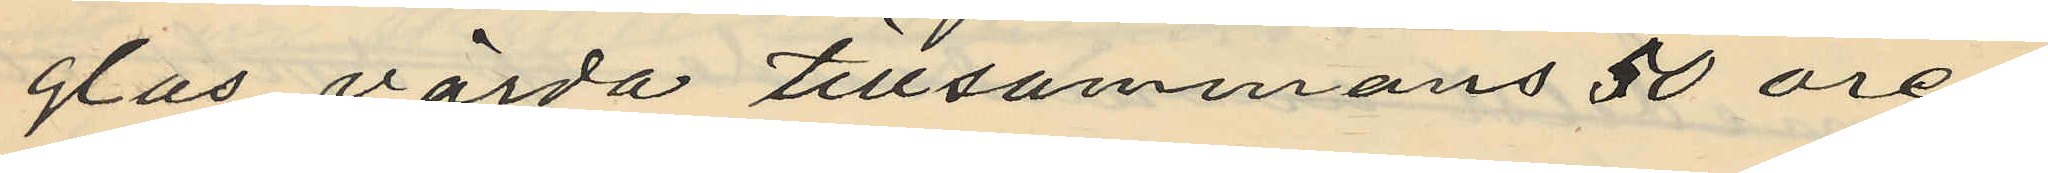glas värda tillsammans 50 öre;
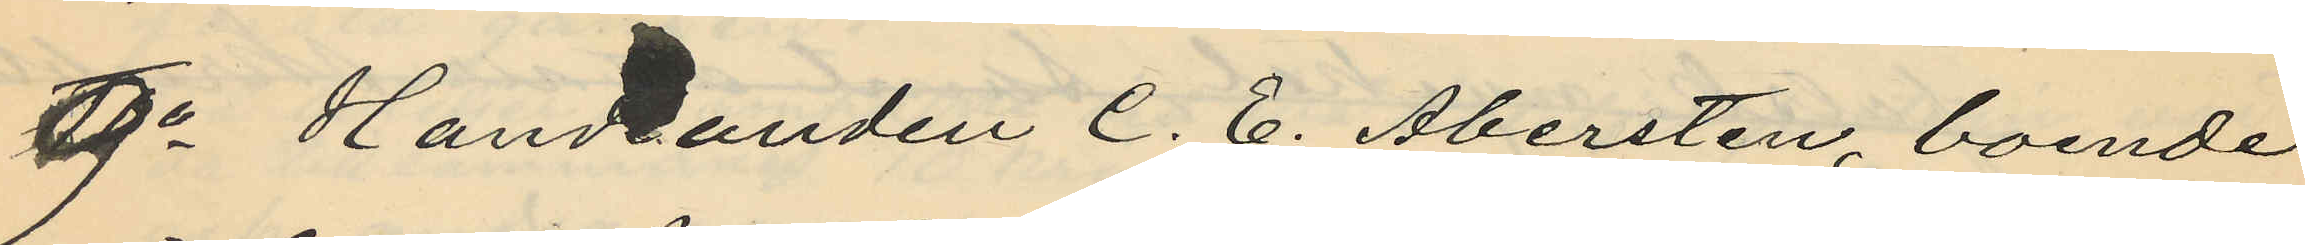9o Handlanden C. E. Abersten, boende
